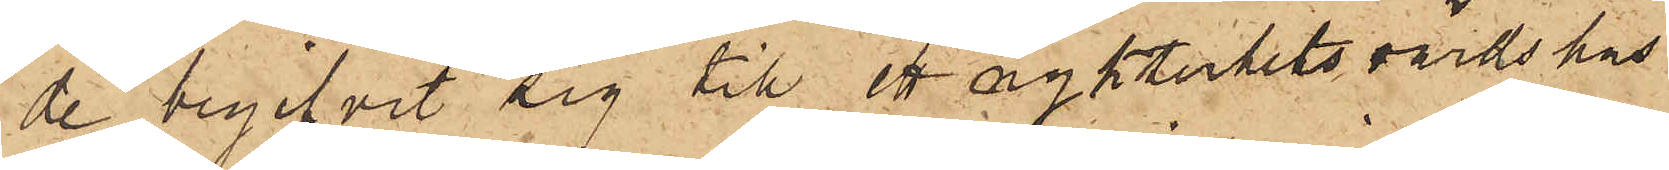de begifvit sig till ett nykterhetsvärdshus
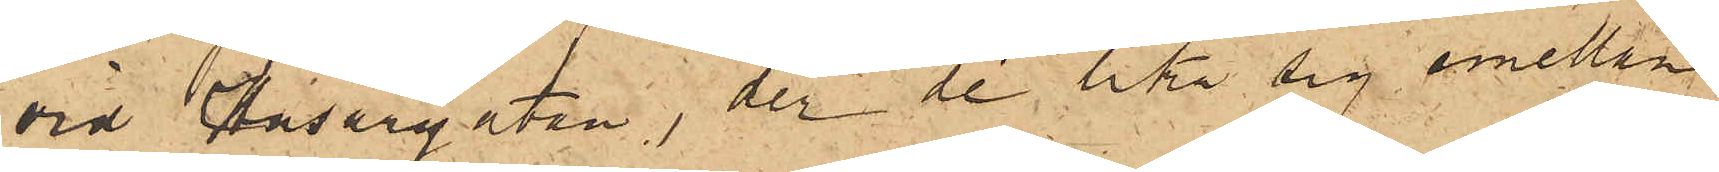vid Husargatan, der de lika sig emellan
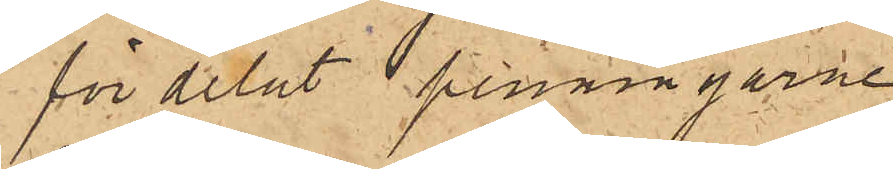fördelat penningarne.
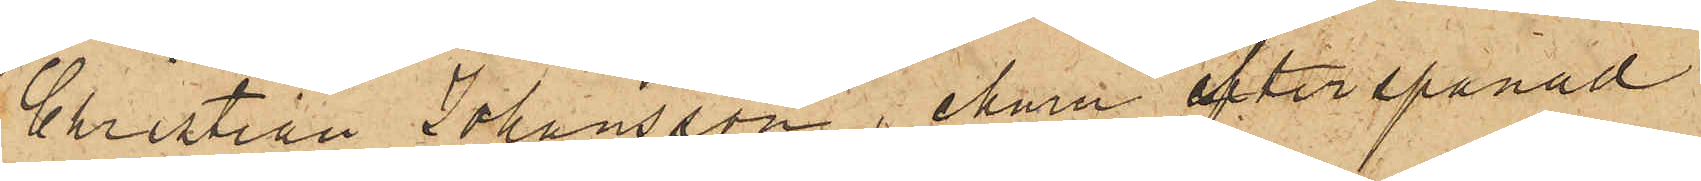Christian Johansson, ehuru efterspanad
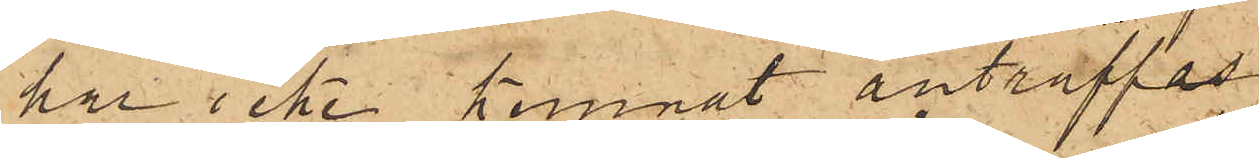har icke kunnat anträffas.
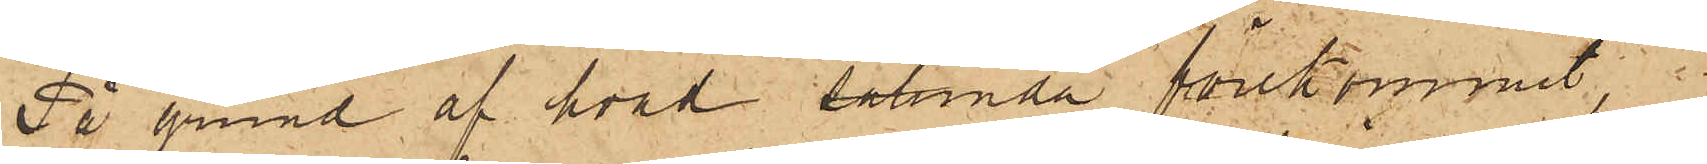På grund af hvad sålunda förekommit.
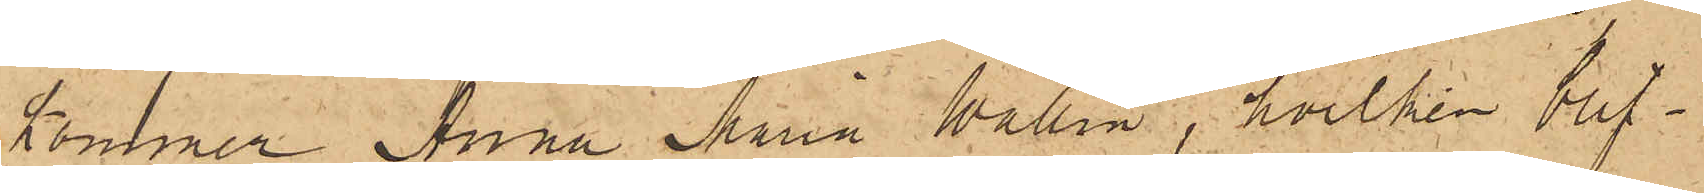kommer Anna Maria Wallin, hvilken blif¬
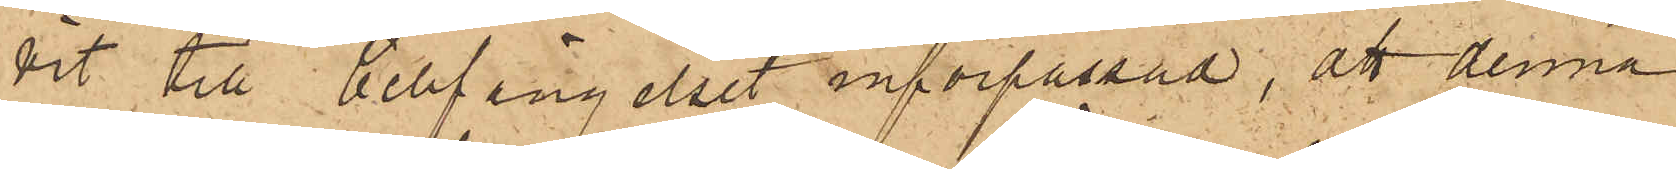vit till Cellfängelset införpassad, att denna
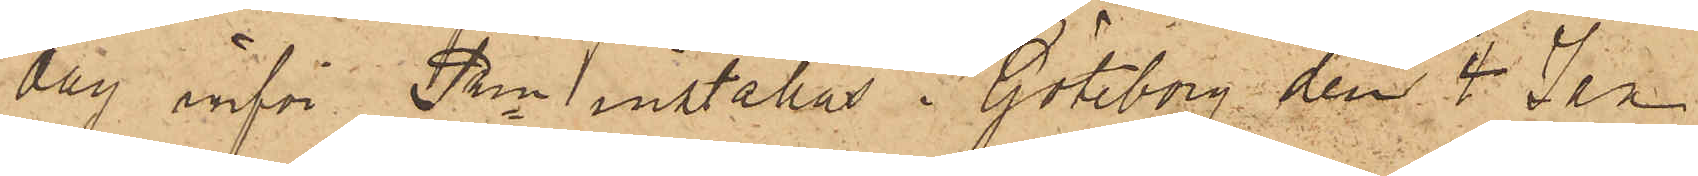dag inför Pkn inställas. Göteborg den 4 Jan
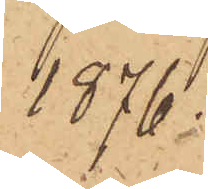1876
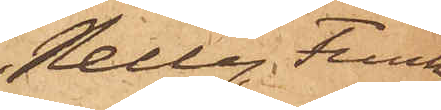Nelly Funk¬
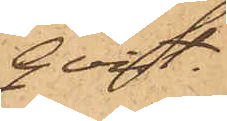qvist
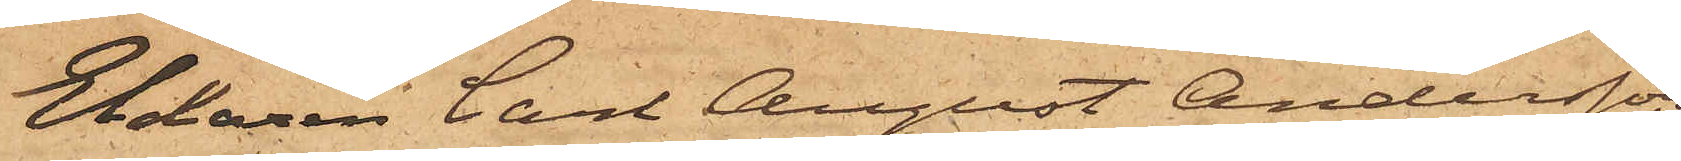Eldaren Carl August Andersson,
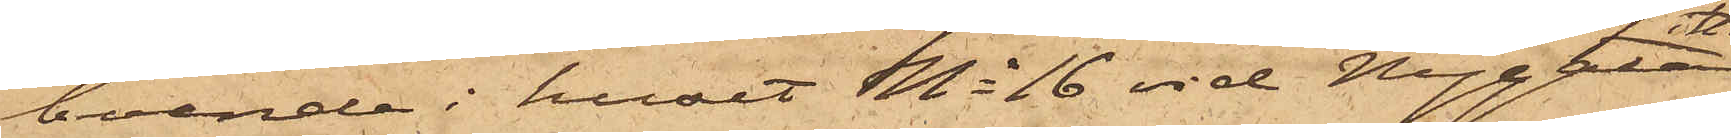boende i huset No 16 vid Nygatan i Haga
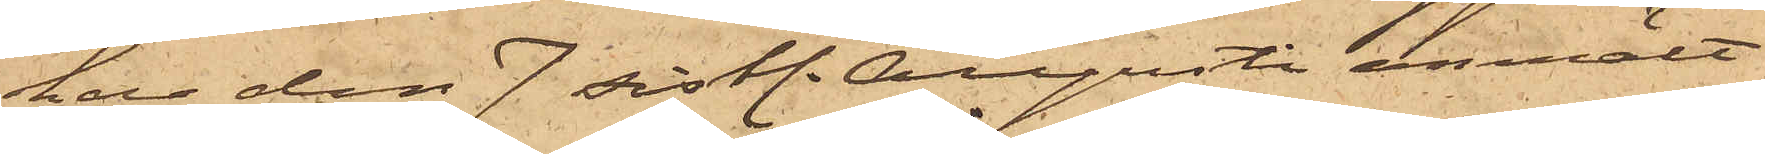har den 7 sist. Augusti anmält
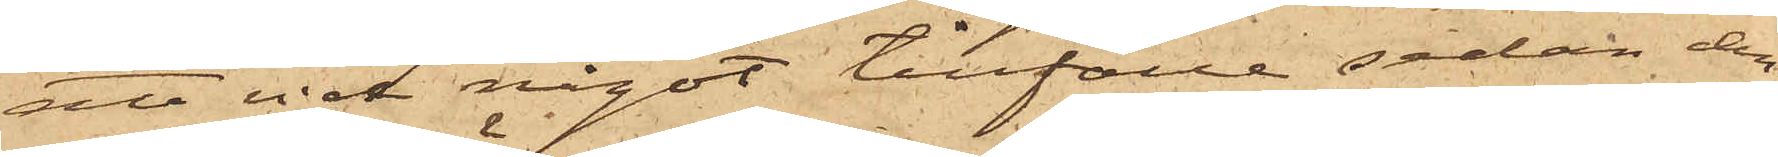att vid något tillfälle sedan den
